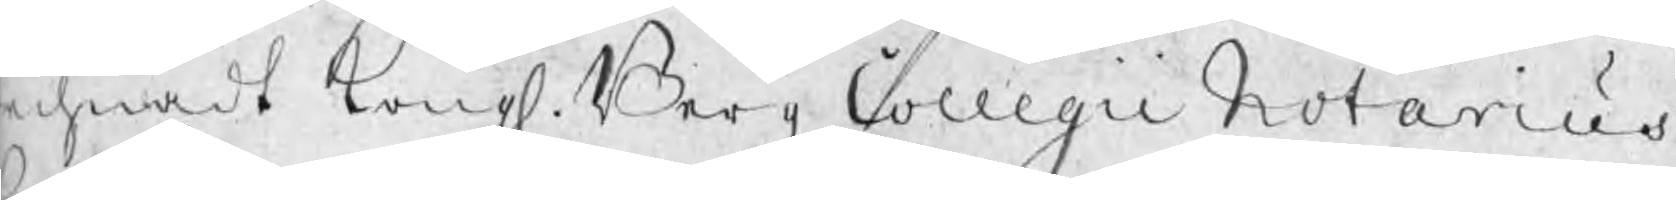technadt Kongl. Bergz Collegii Notarius
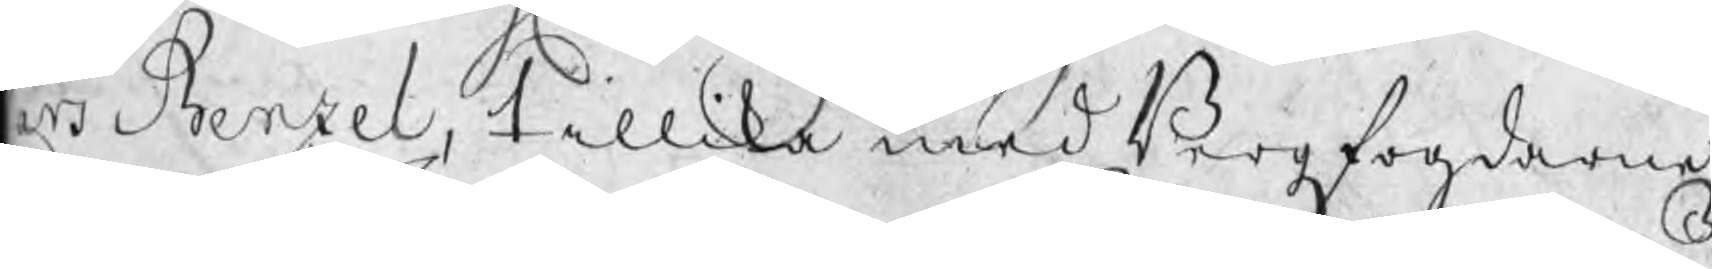aes Benzel, tillika med Bergzfogdarne
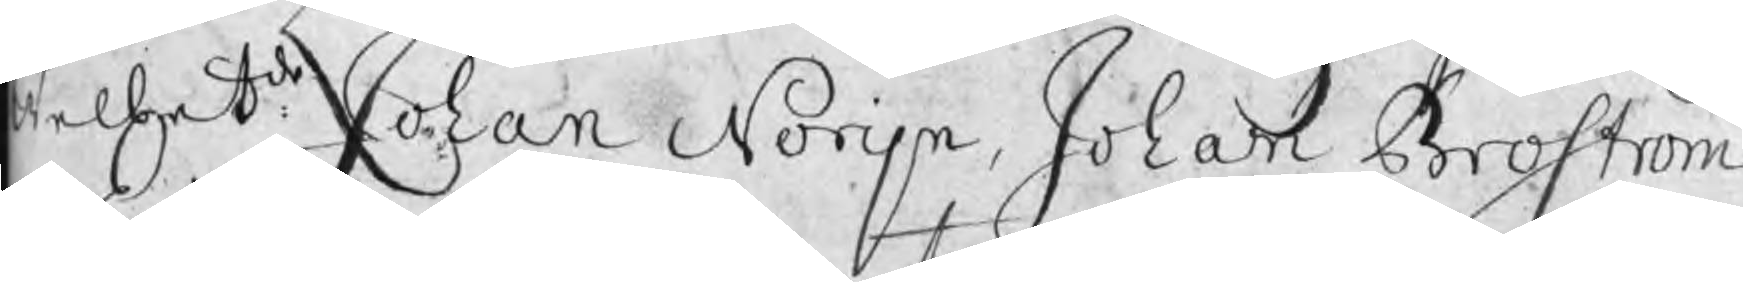Welbetde Johan Norijn, Johan Broström
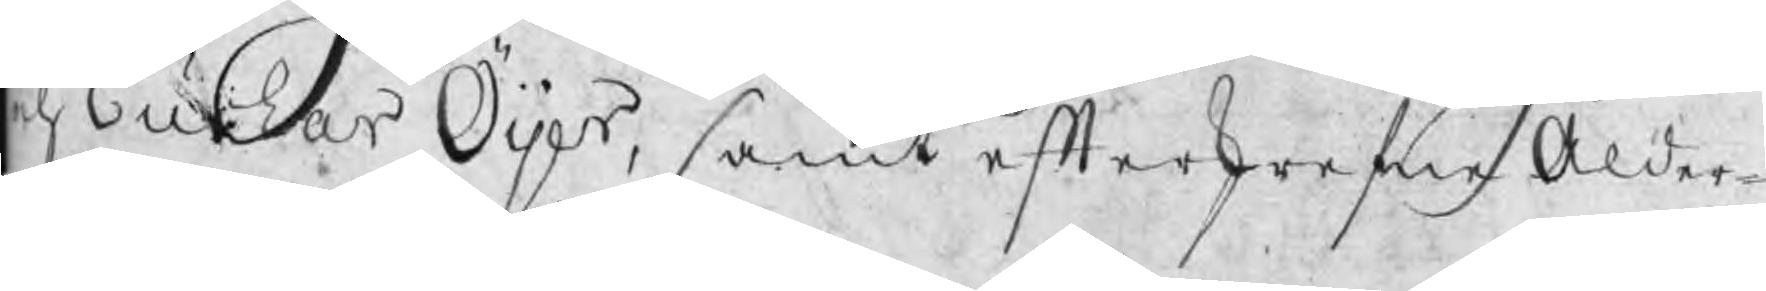ch Euchar Öijer, samt efterskrefne Ålder¬
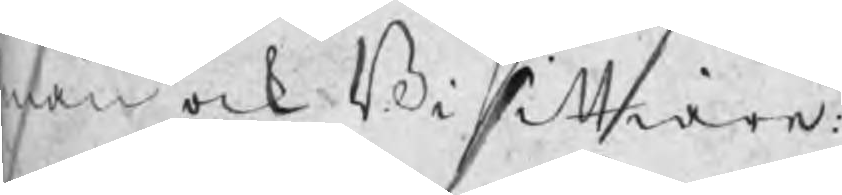män och Bisittiare:
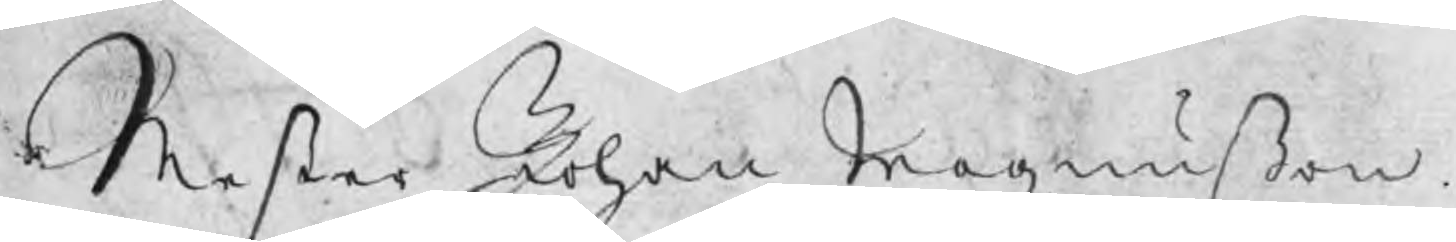Mester Johan Magnußon
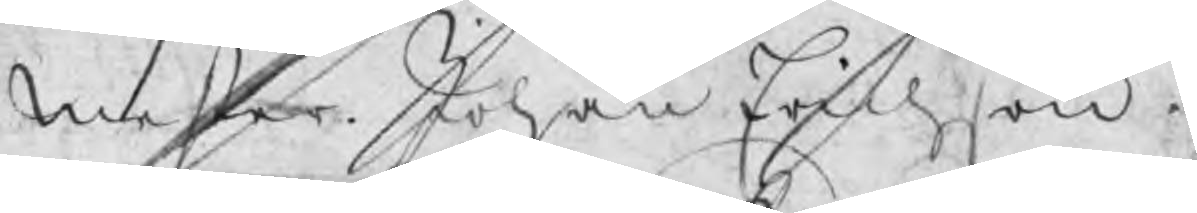Mester Johan Erichson
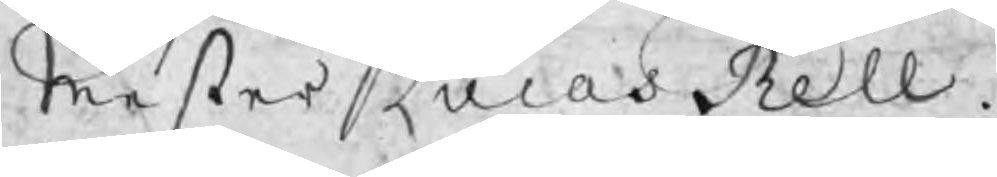Mester Lucas Rell
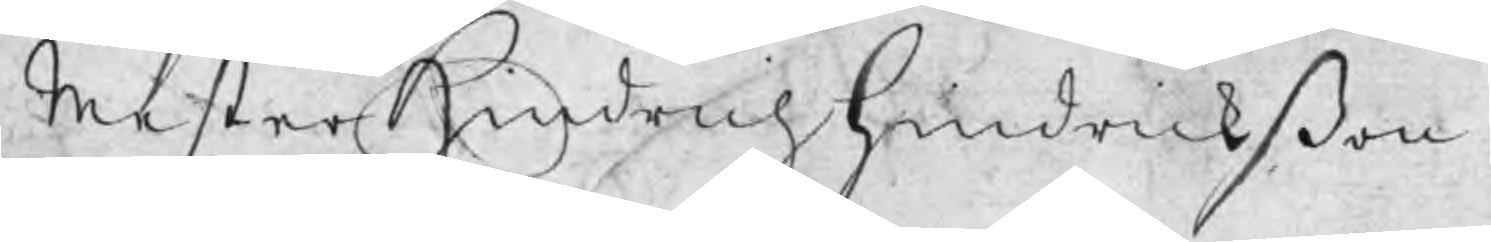Mester Hindrich Hindrickßon
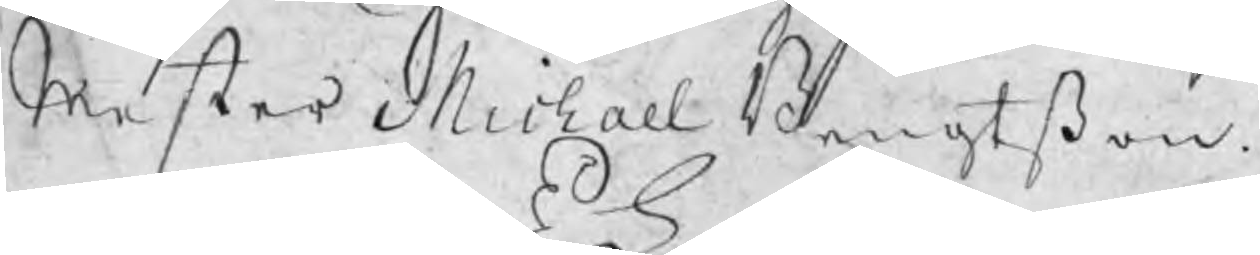Mester Michael Bengtßon
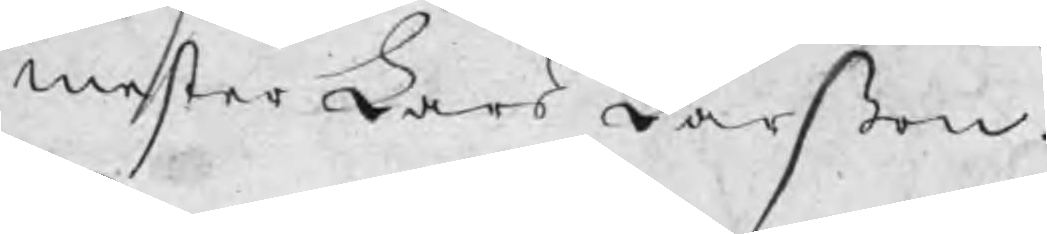mester Lars Larßon.
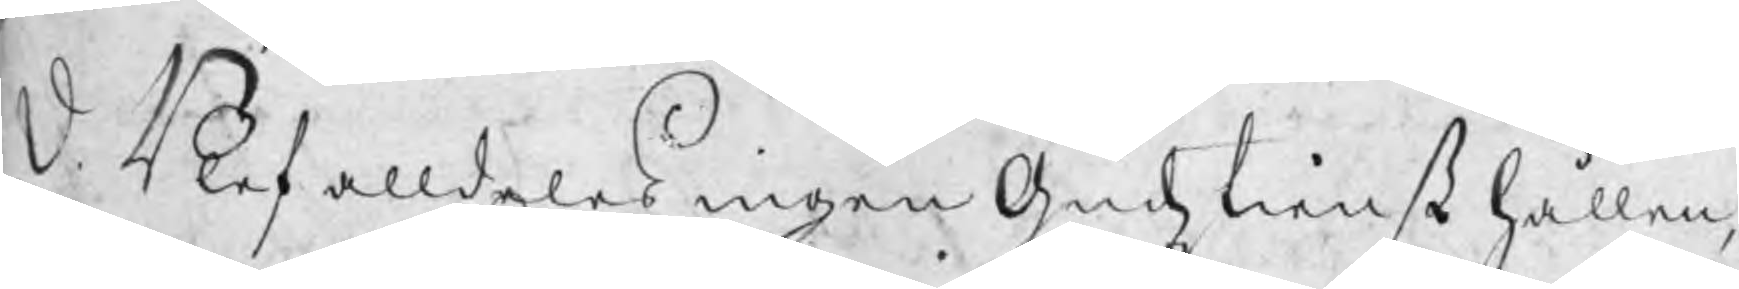D.  Blef alldeles ingen Gudztienst hållen,
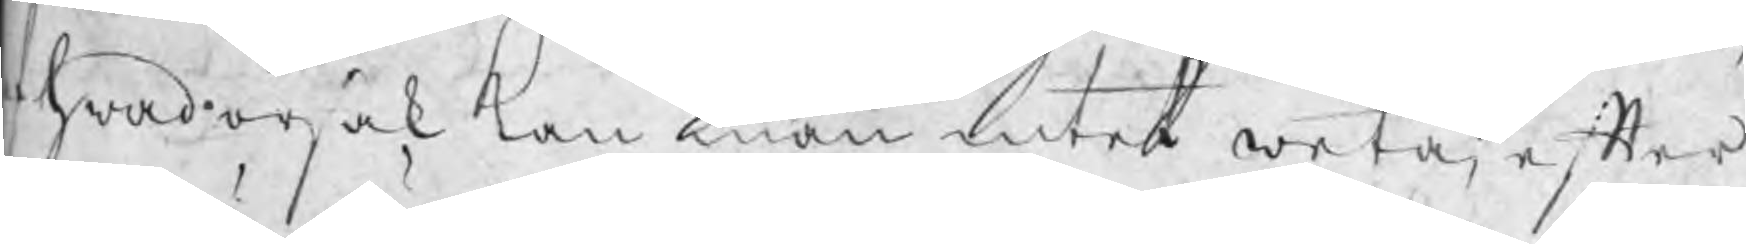af hwad orsak kan man intet weta, efter
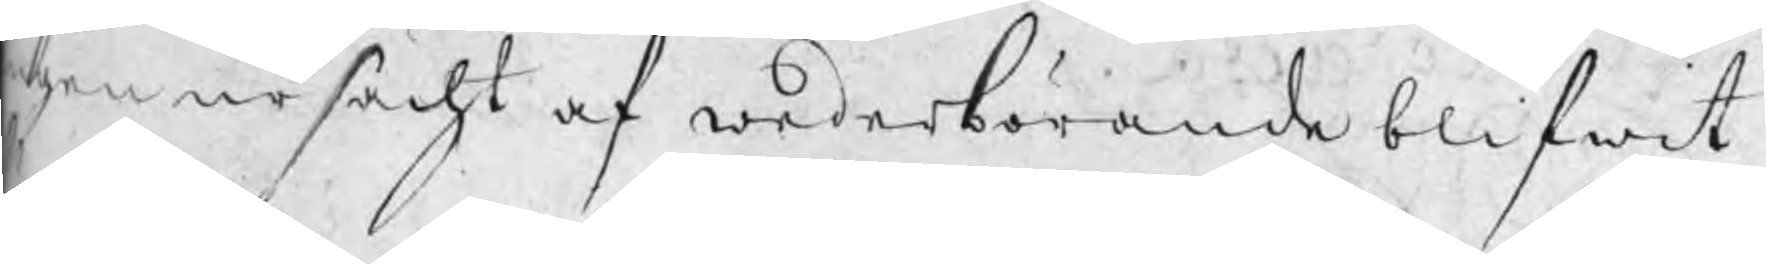gen ursächt af wederbörande blifwit
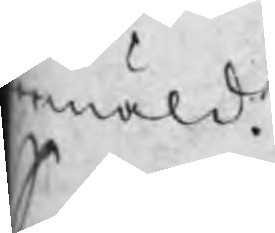mäld.
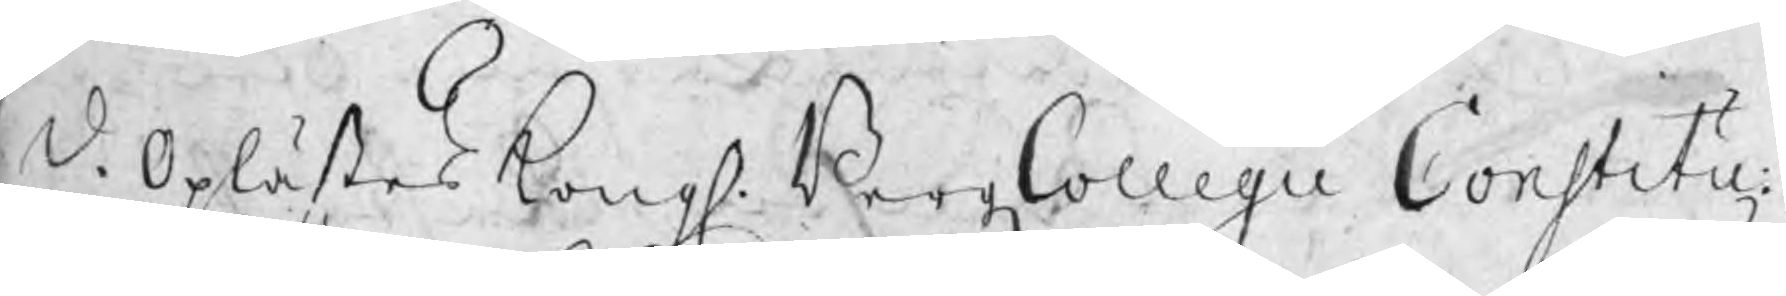S. D. Oplästes Kongl. BergzCollegii Cinstitu:
